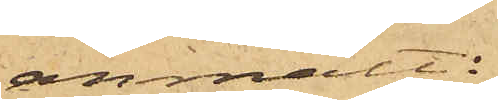anmält:
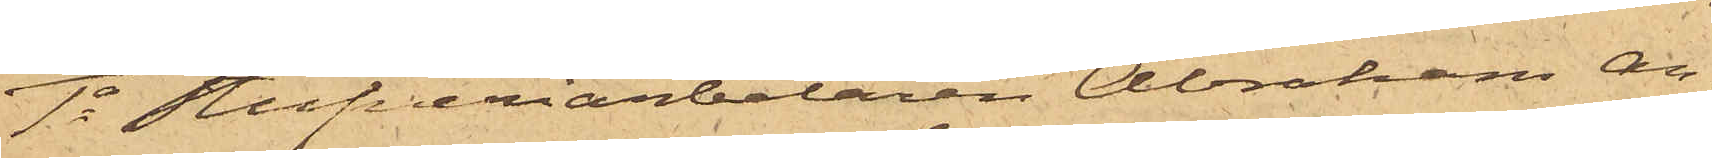1o Stufveriarbetaren Abraham An¬
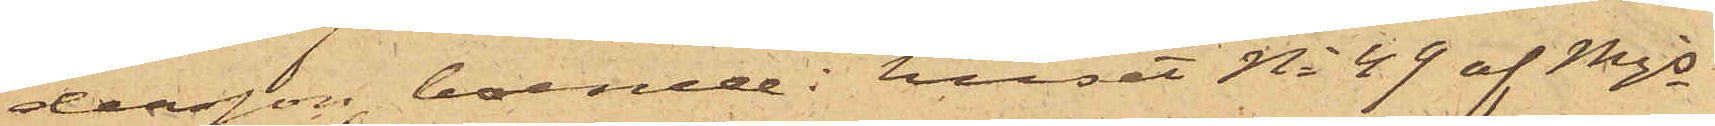dersson, boende i huset No 49 af Mjs
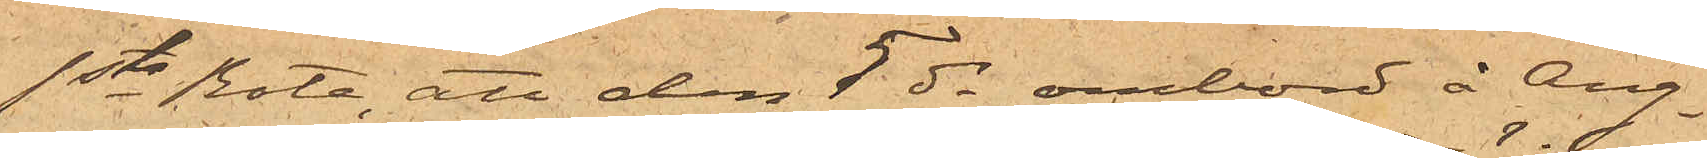1sta Rote, att den 5 ds ombord å Ång¬
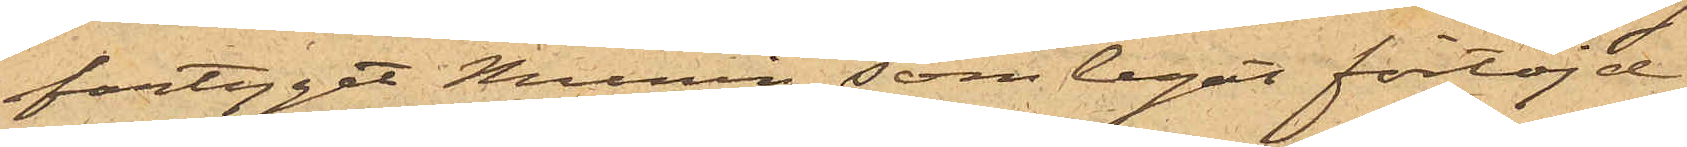fartyget Munin, som legat förtöjd
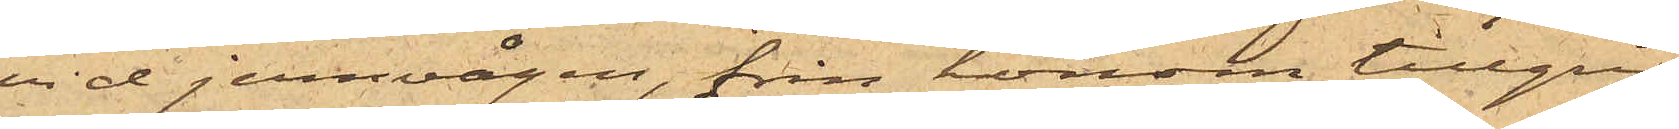vid jernvågen, från honom tillgri¬
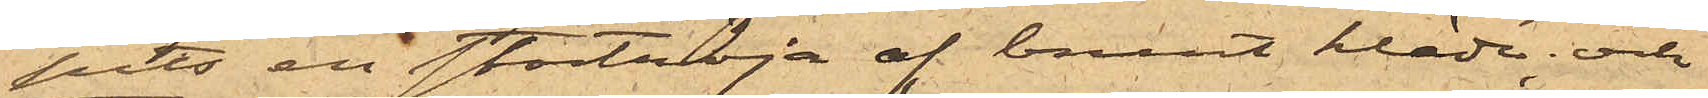pits en stortröja af brunt kläde; och
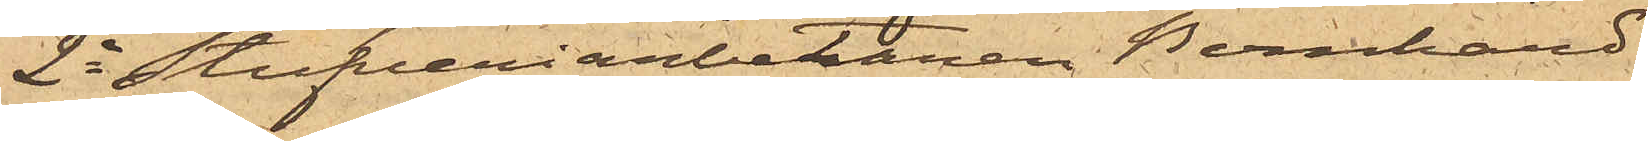2o Stufveriarbetaren Bernhard
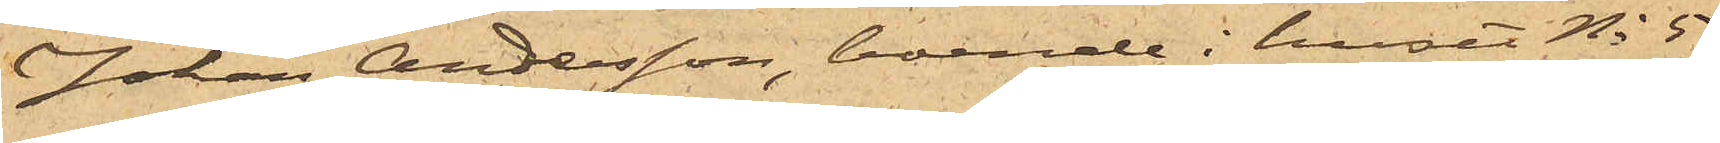Johan Andersson, boende i huset No 5
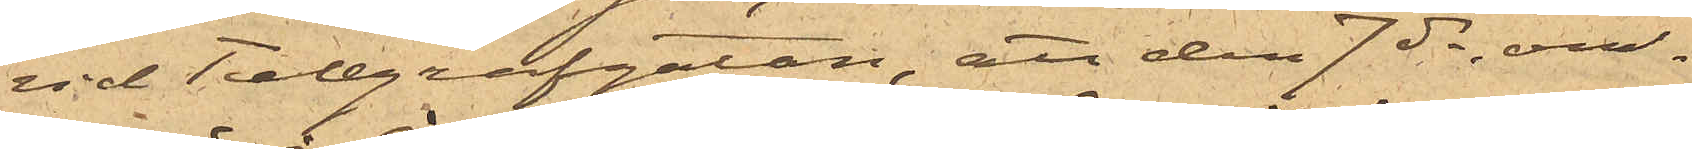vid Telegrafgatan, att den 7 ds, om¬
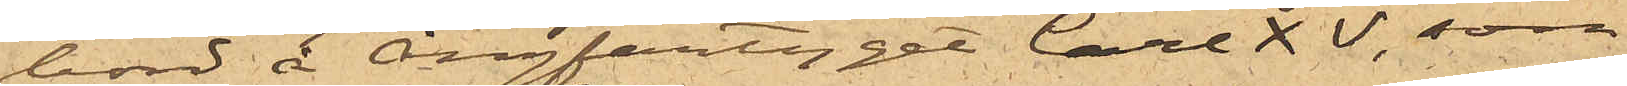bord å Ångfartyget Carl XV, som
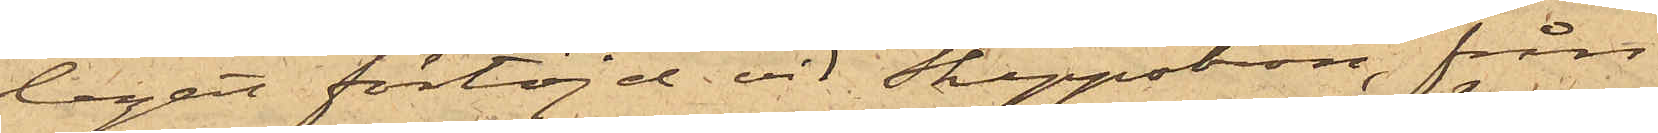legat förtöjd vid Skeppsbron, från
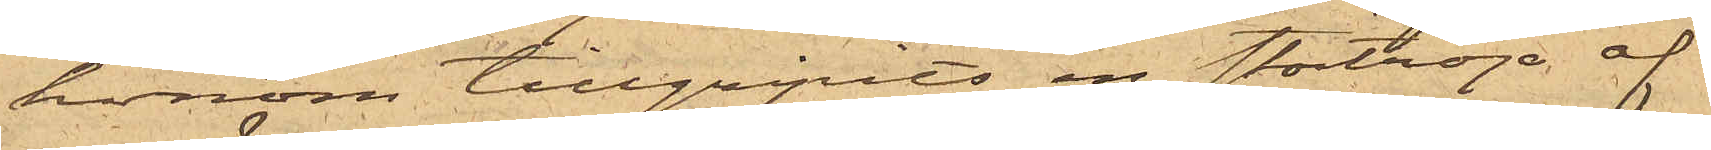honom tillgripits en stortröja af
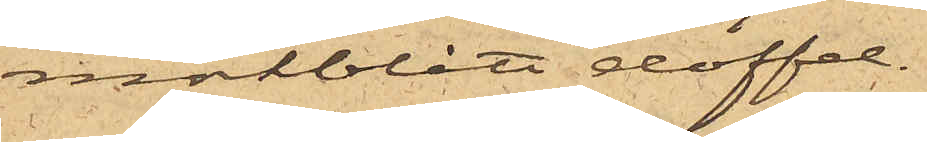mörkblått doffel.
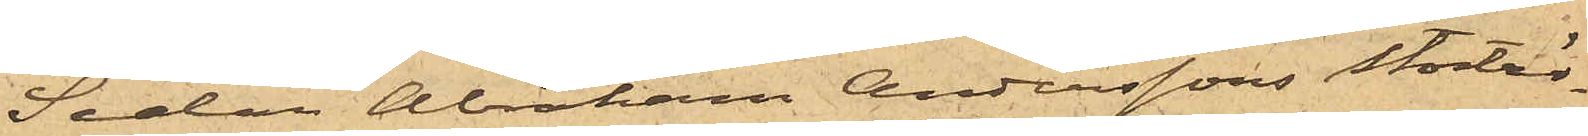Sedan Abraham Anderssons stortrö¬
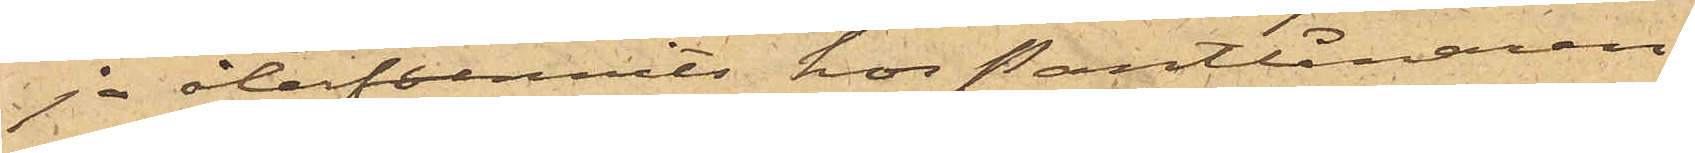ja återfunnits hos Pantlånaren
